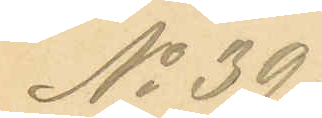No 39.
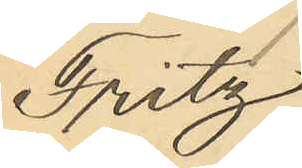Fritz
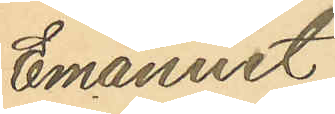Emanuet
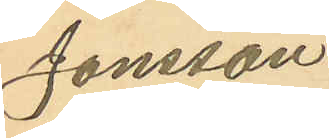Jonsson
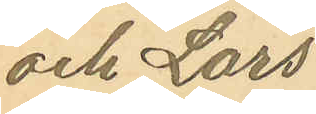och Lars
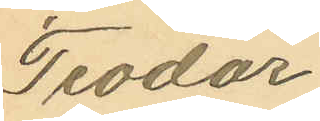Teodor
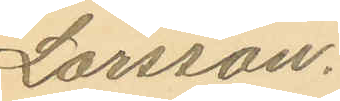Larsson.
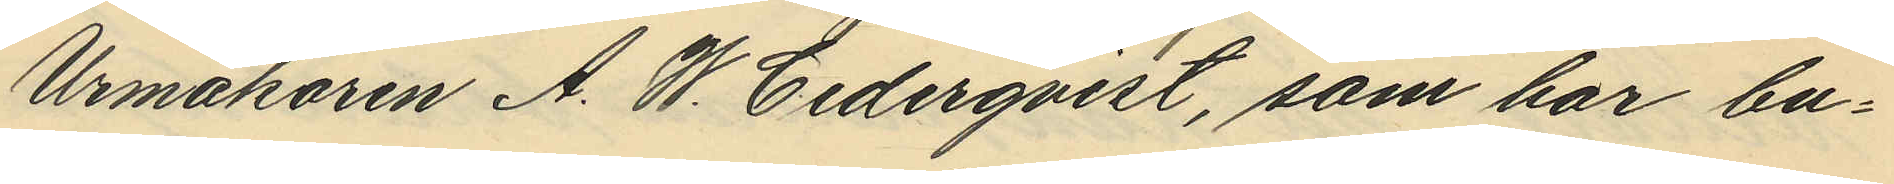Urmakaren A. W. Cederqvist, som har bu¬
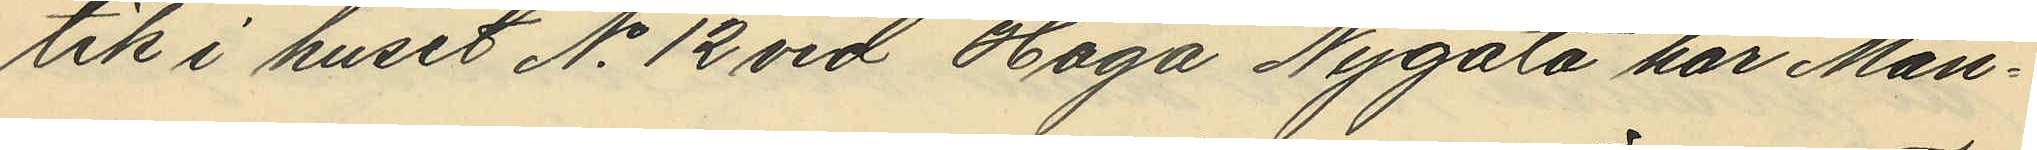tik i huset No 12 vid Haga Nygata har Mån¬
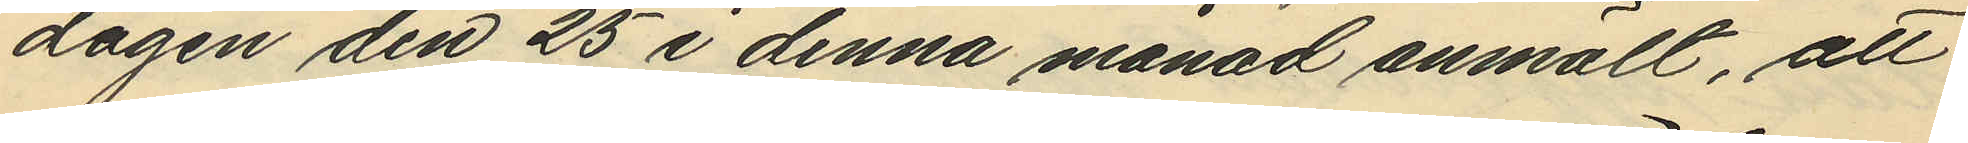dagen den 25 i denna månad anmält, att
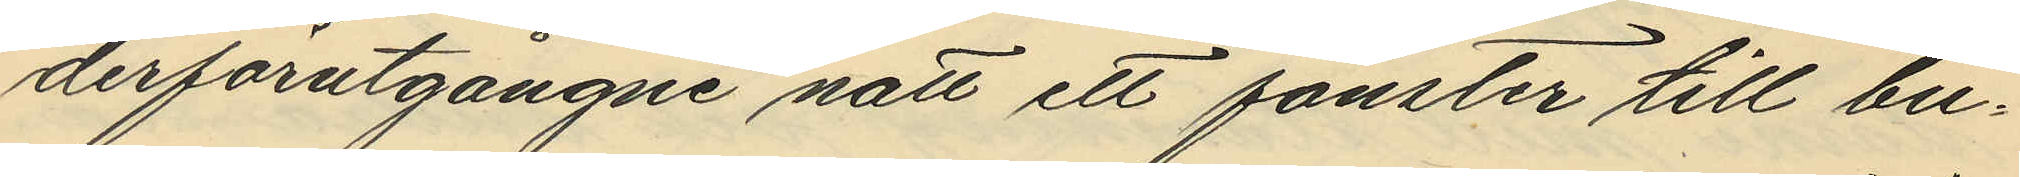derförutgångne natt ett fönster till bu¬
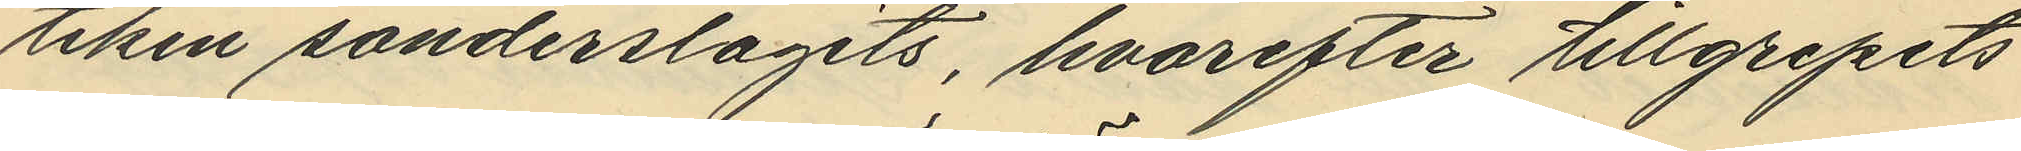tiken sönderslagits, hvarefter tillgripits
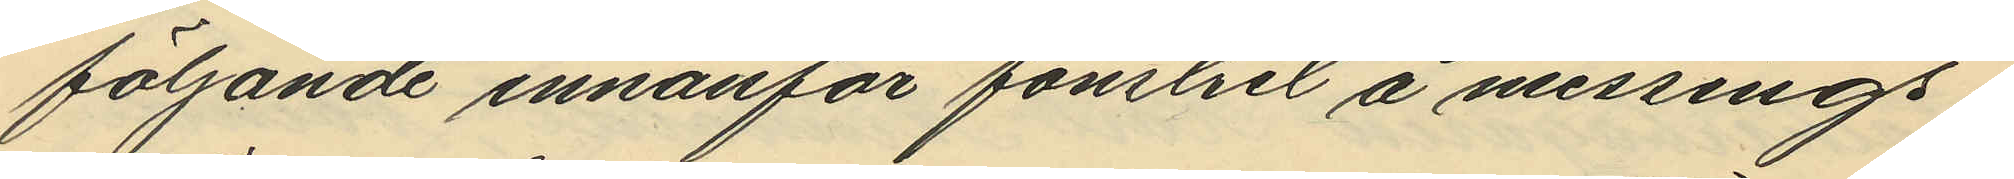följande innanför fönstret å messings¬
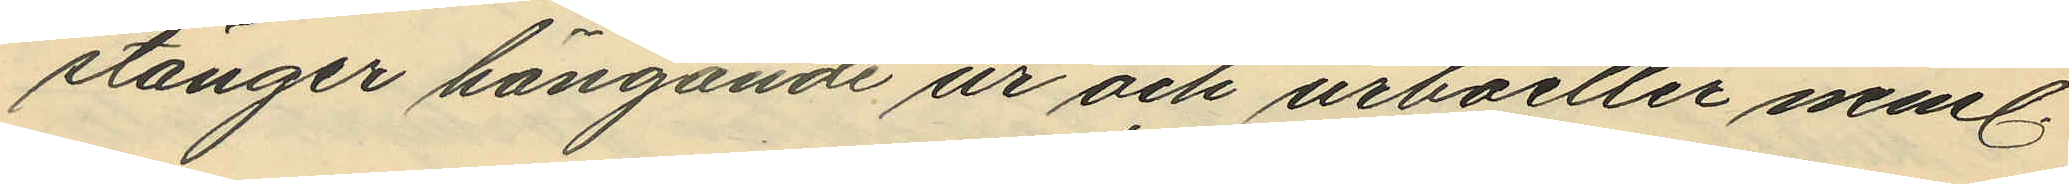stänger hängande ur och urboetter neml.
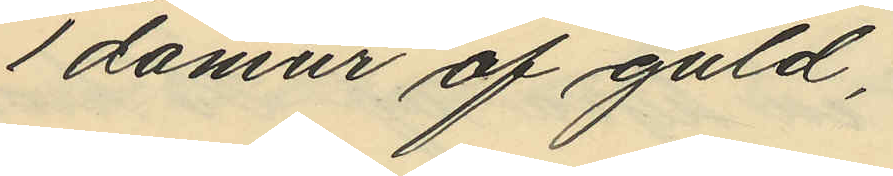1 damur af guld,
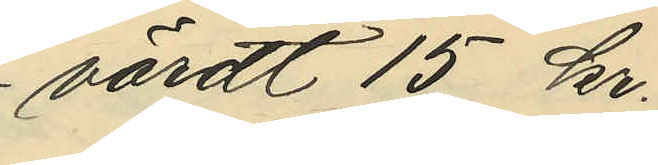värdt 15 kr.
